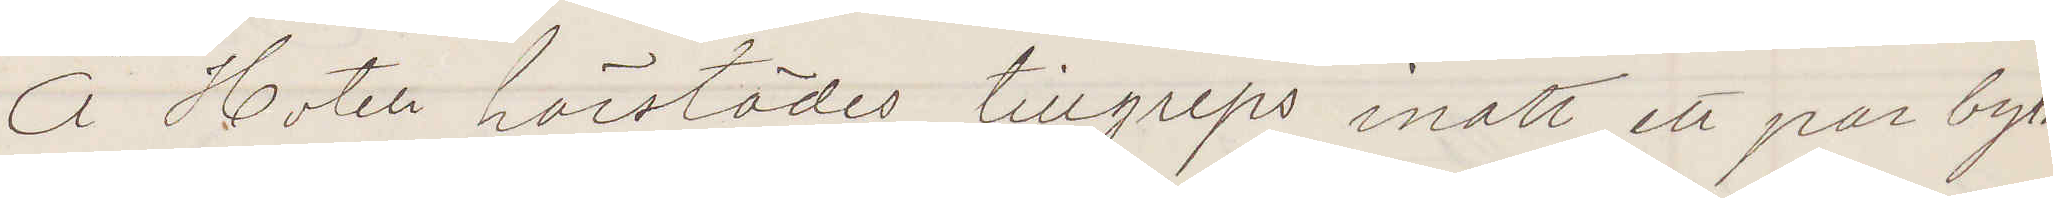Å Hotell härstädes tillgreps inatt ett par byxor
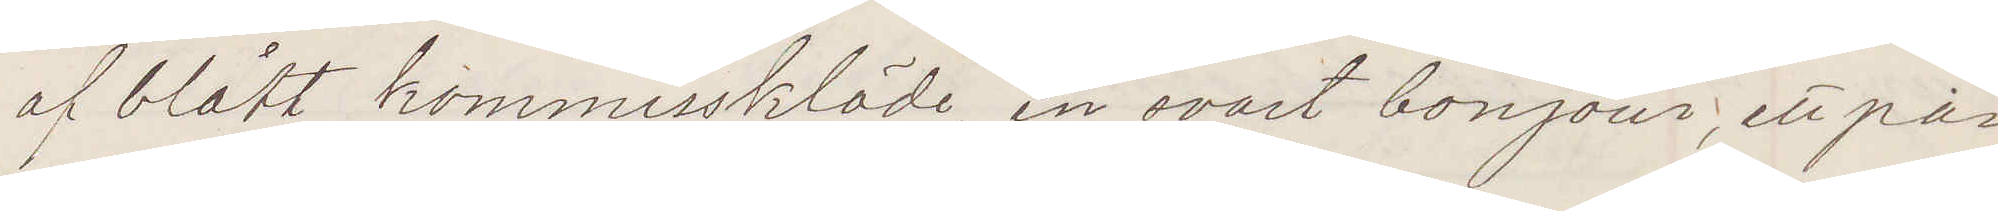af blått kommisskläde, en svart bonjour, ett par
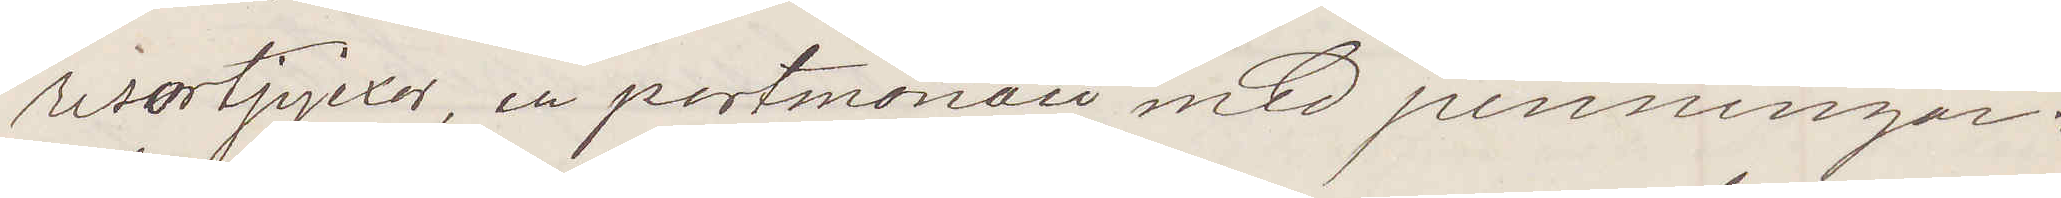resortpjexor, en portmonaie med penningar:
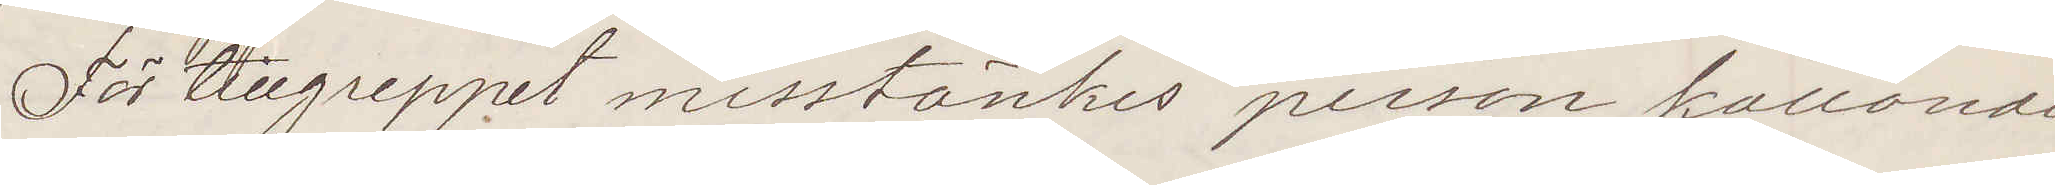För tillgreppet misstänkes person kallande
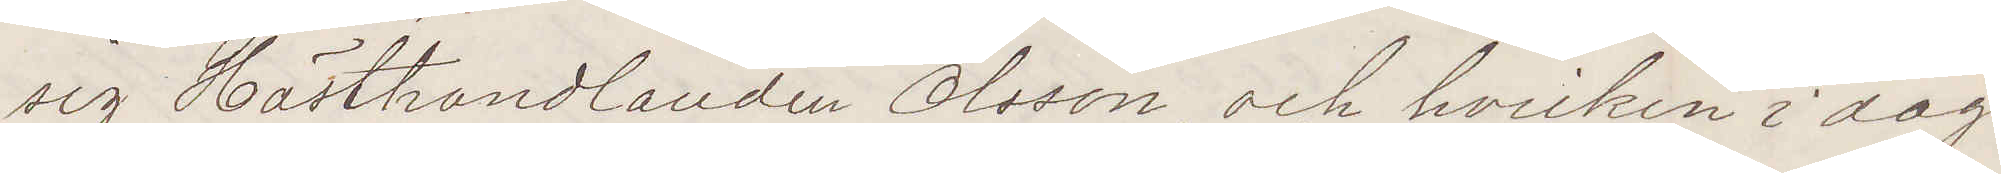sig Hästhandlanden Olsson, och hvilken i dag
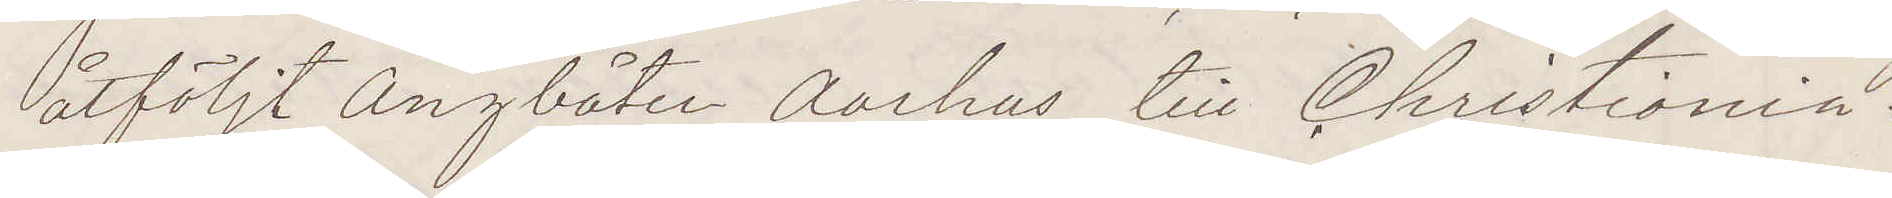åtföljt Ångbåten Aarhus till Christiania.
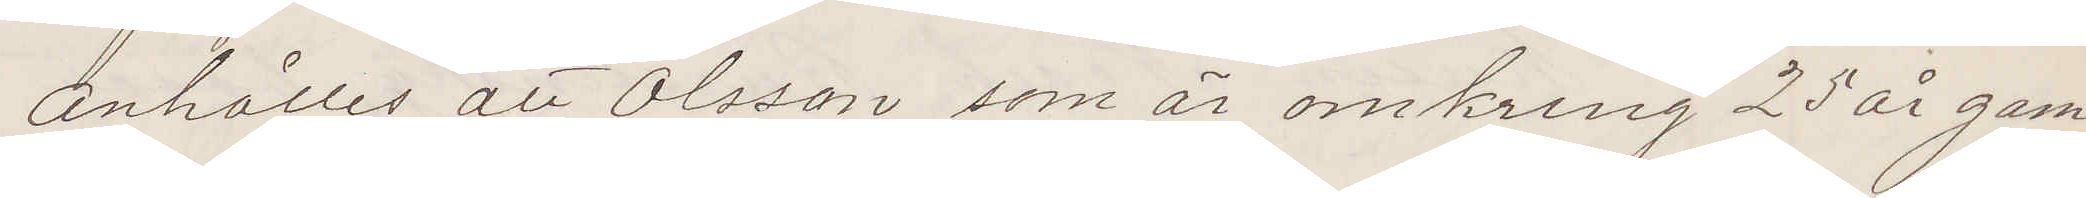Anhålles att Olsson, som är omkring 25 år gam¬
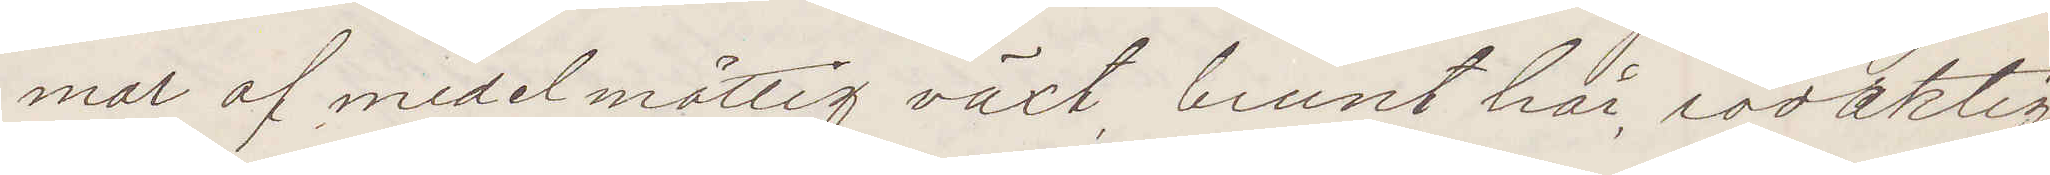mal af medelmåttig växt, brunt hår, rödaktig
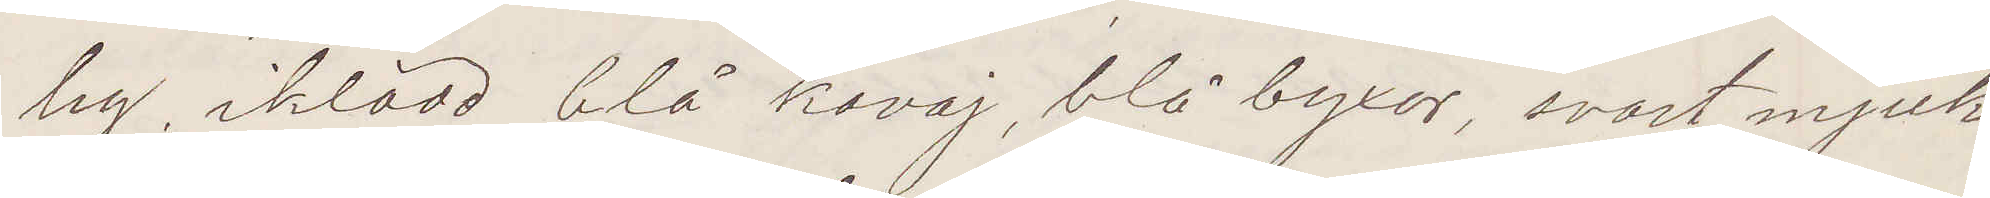lig, iklädd blå kavaj, blå byxor, svart mjuk
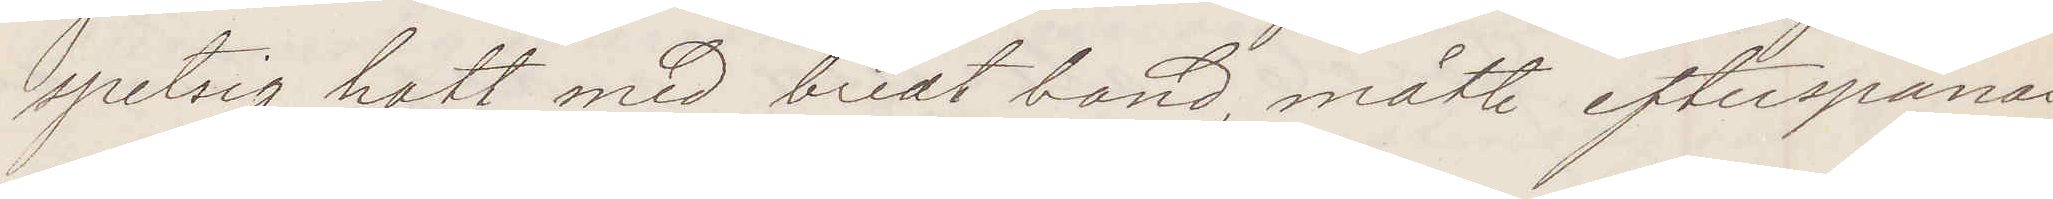spetsig hatt med bredt band, måtte efterspanas
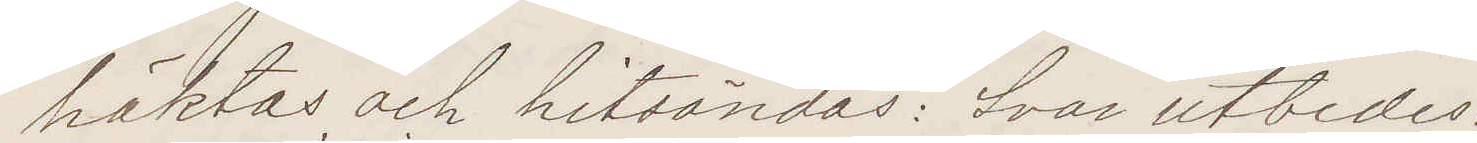häktas och hitsändes: Svar utbedes:
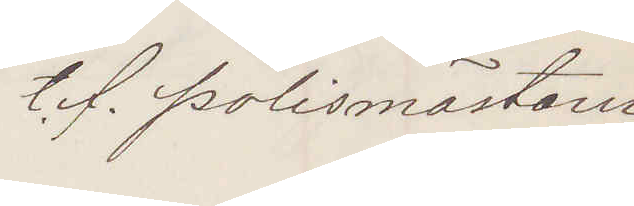t. f. Polismästarn
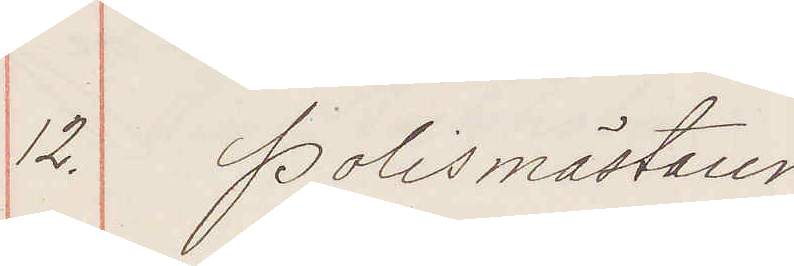12. Polismästaren
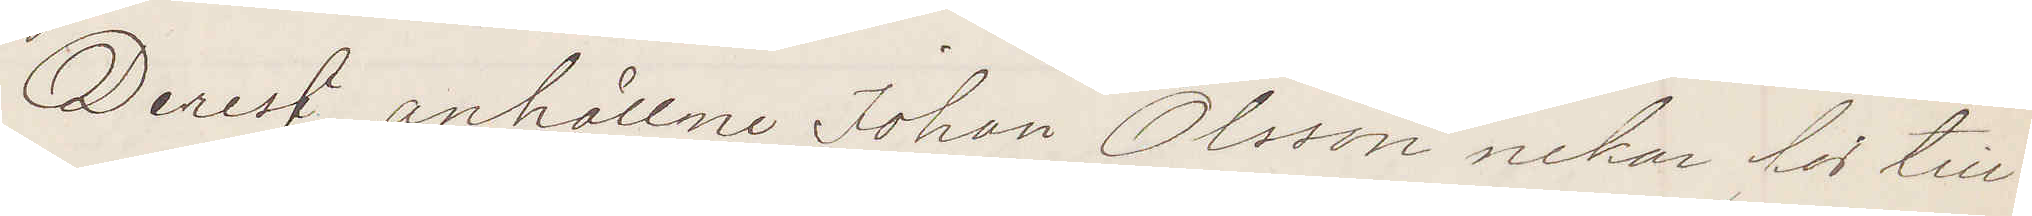Derest anhållne Johan Olsson nekar for till¬
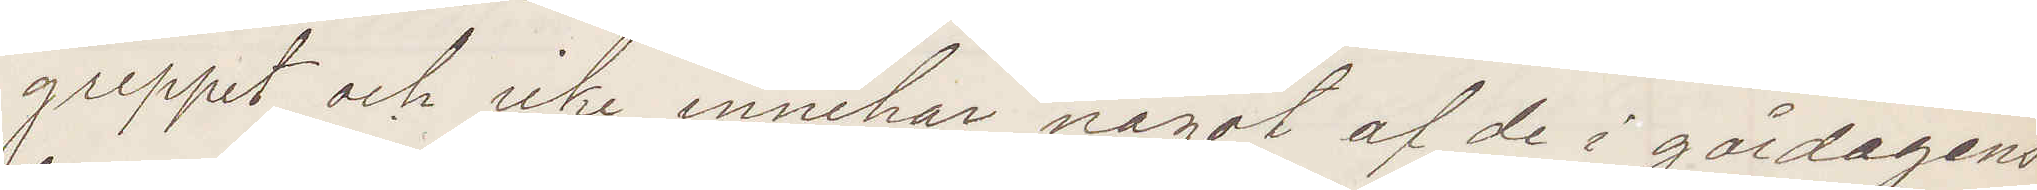greppet och icke innehar något af de i gårdagens
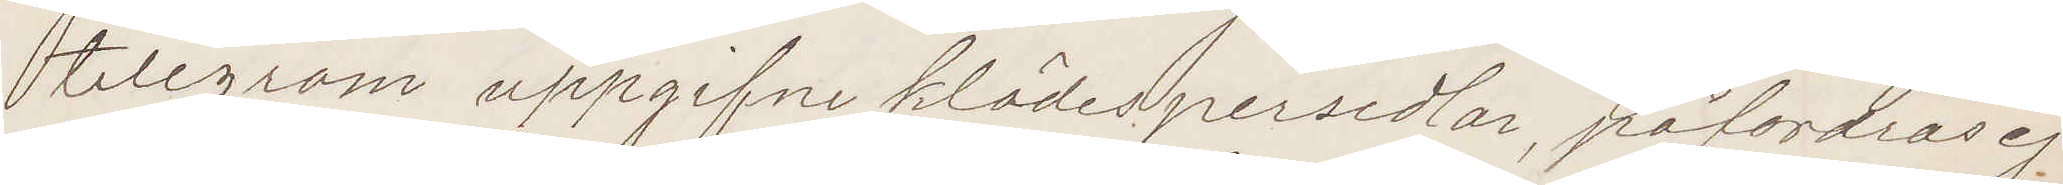telegram uppgifne klädespersedlar, påfordras ej
